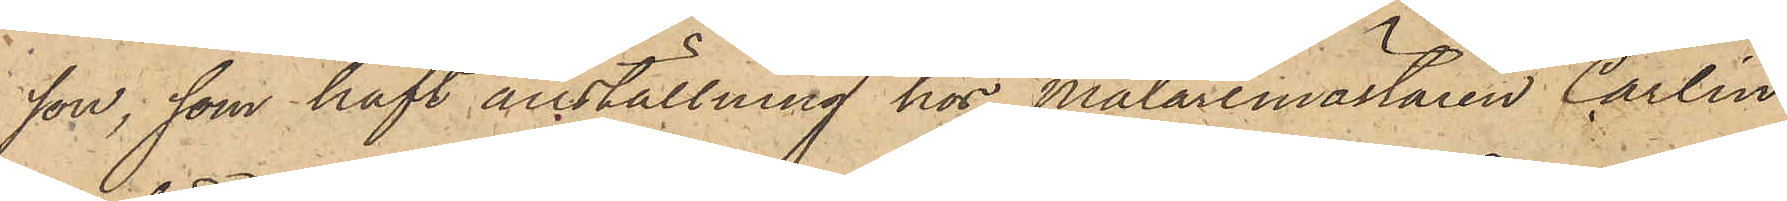son, som haft anställning hos Målaremästaren Carlin
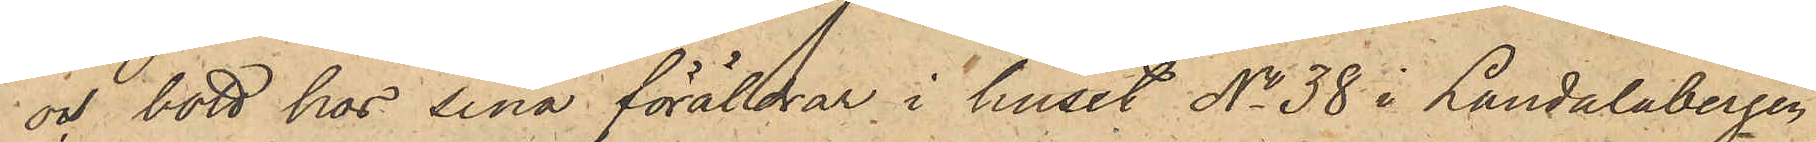och bott hos sina föräldrar i huset No 38 i Landalabergen;
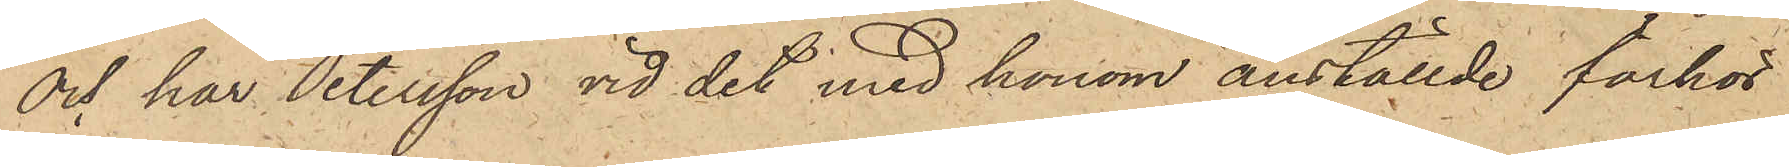och har Petersson vid det med honom anställde förhör
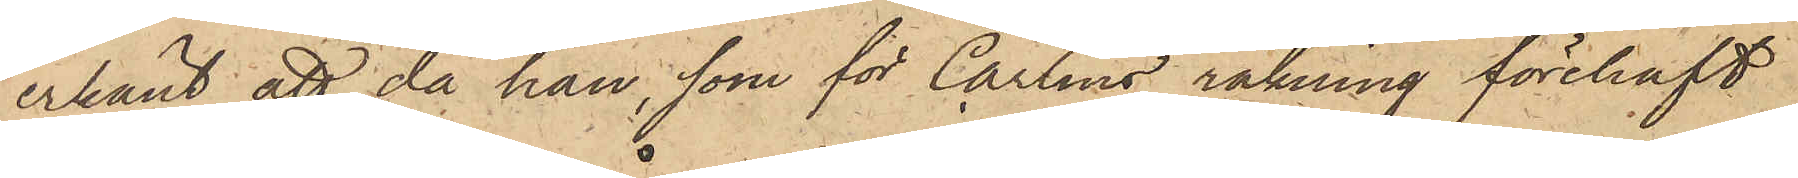erkänt, att då han, som för Carlins räkning förehaft
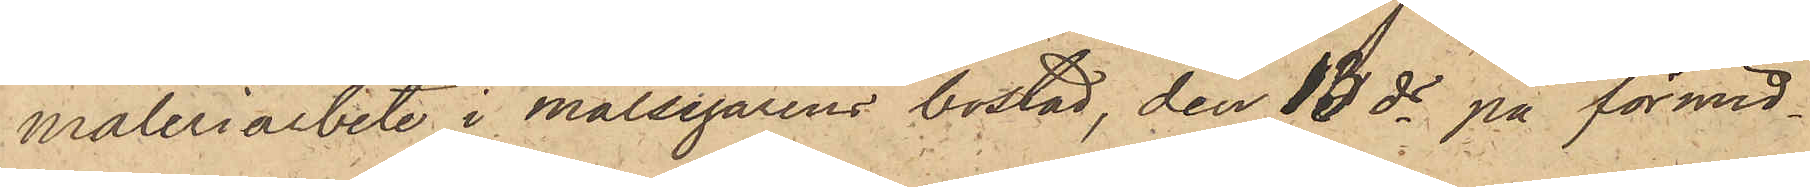måleriarbete i målsegarens bostad, den 13 ds på förmid¬
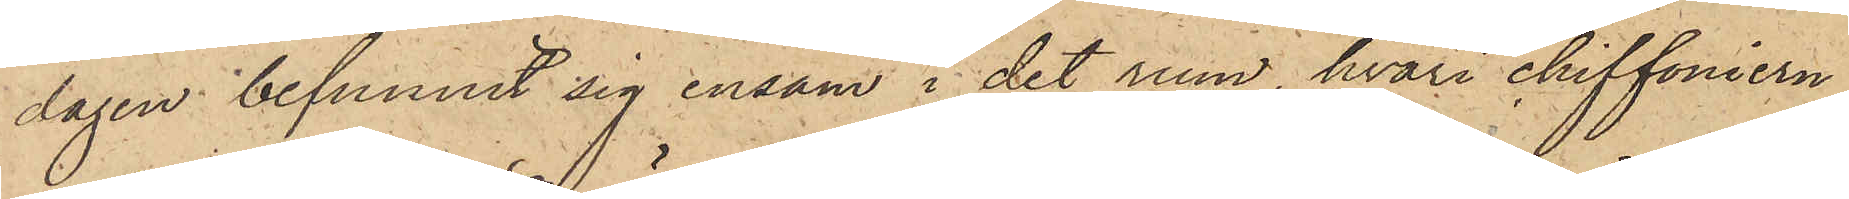dagen befunnit sig ensam i det rum, hvari chiffoniern
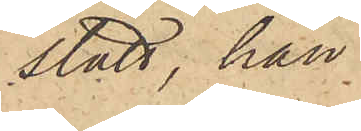stått, han
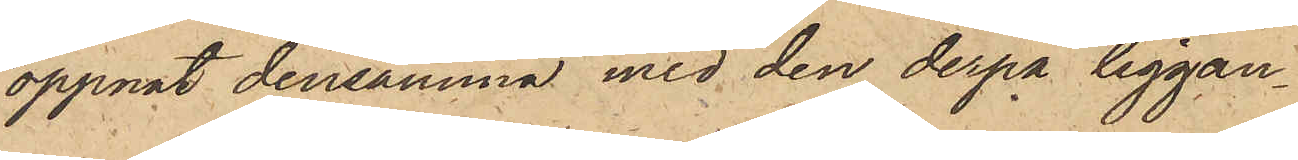öppnat densamma med den derpå liggan¬
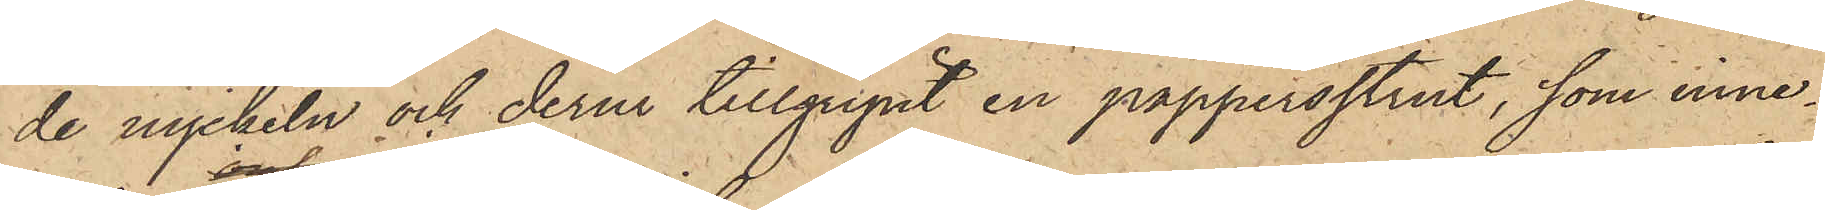de nyckeln och derur tillgripit en pappersstrut, som inne¬
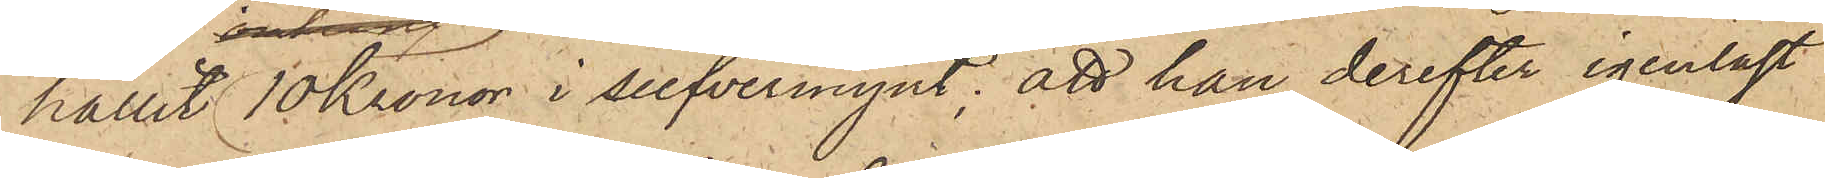hållit 10 Kronor i silfvermynt; att han derefter igenlåst
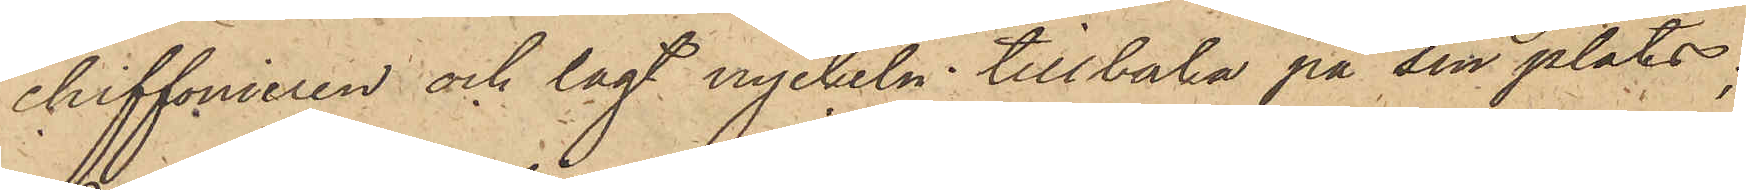chiffonieren och lagt nyckeln tillbaka på sin plats;
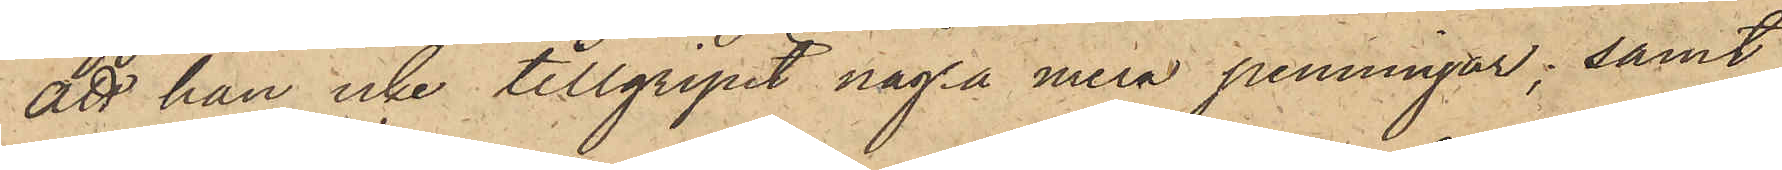att han icke tillgripit några mera penningar; samt
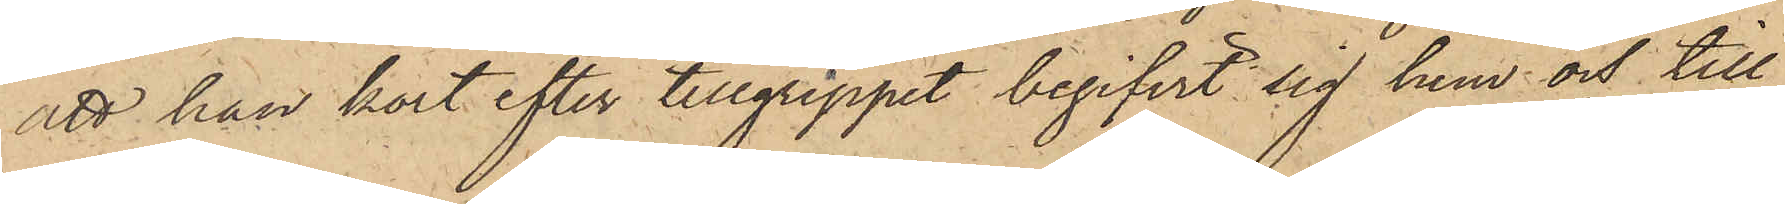att han kort efter tillgreppet begifvit sig hem och till
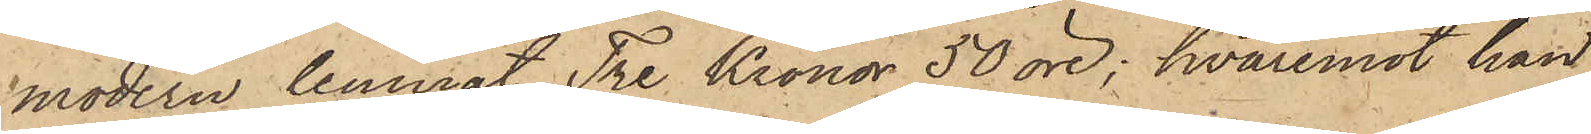modern lemnat Tre Kronor 50 öre; hvaremot han
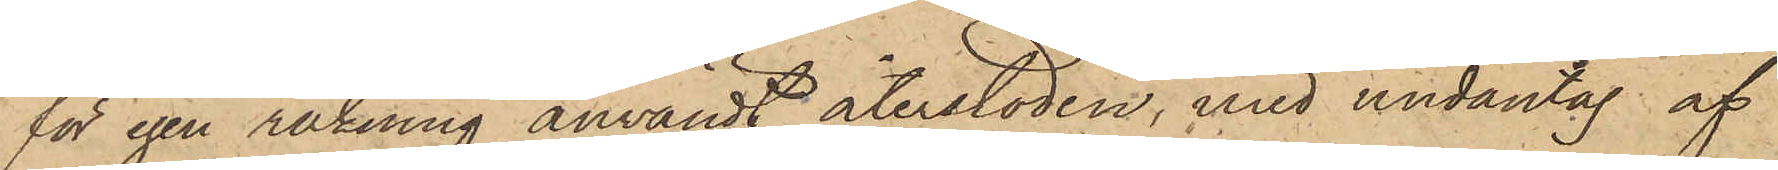för egen räkning användt återstoden, med undantag af
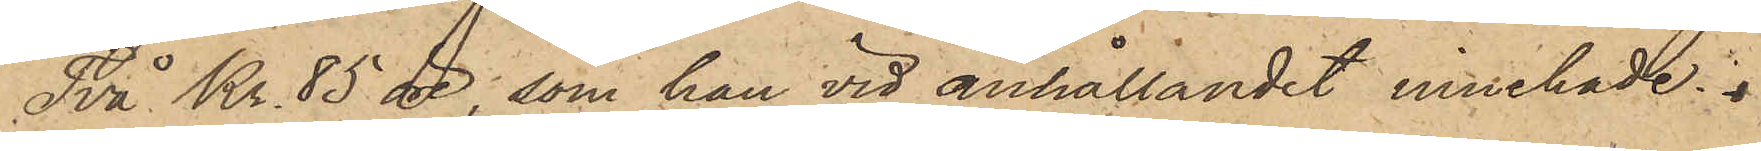Två Kr. 85 öre, som han vid anhållandet innehade.
